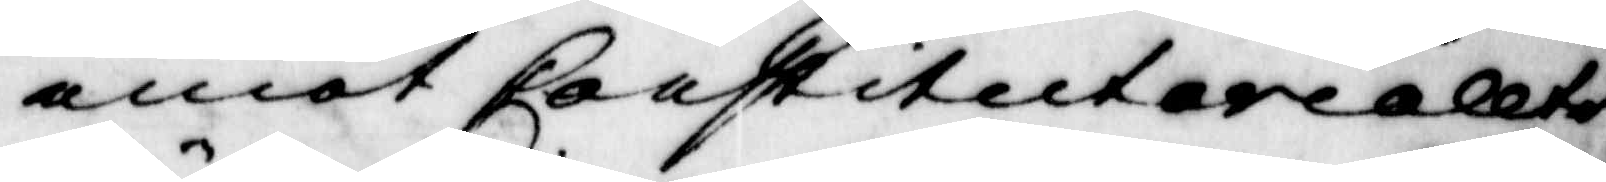emot Constituteriellte
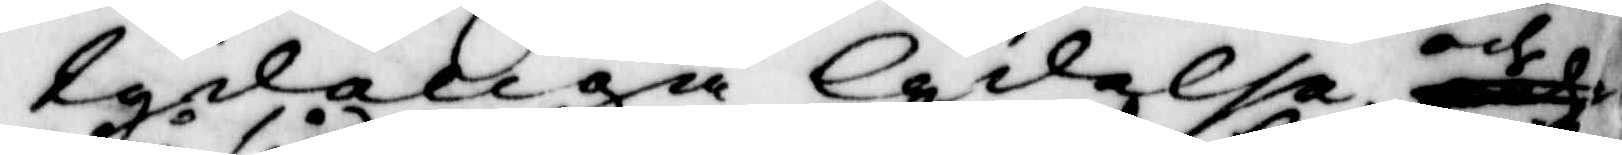tydeliga lydelse och
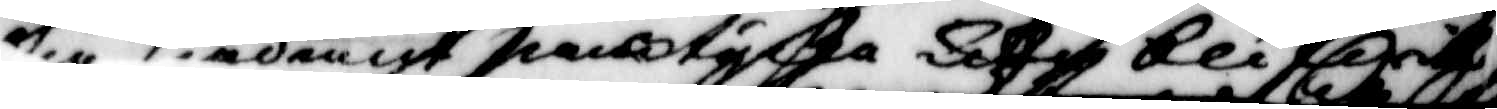på sådant pamtycka detta blifwit
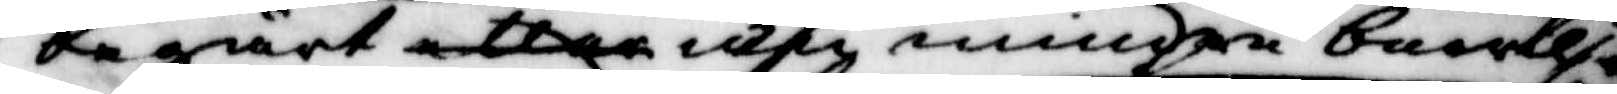begärt eller men mindre bralf
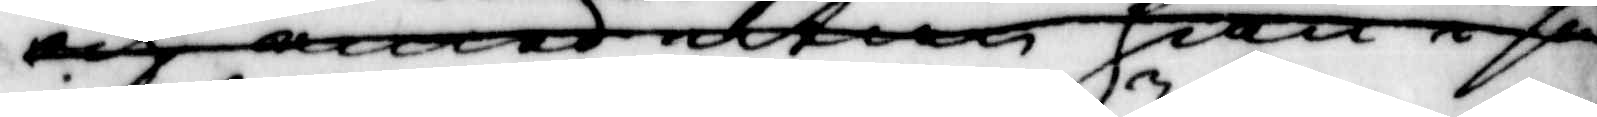och med utan han i så
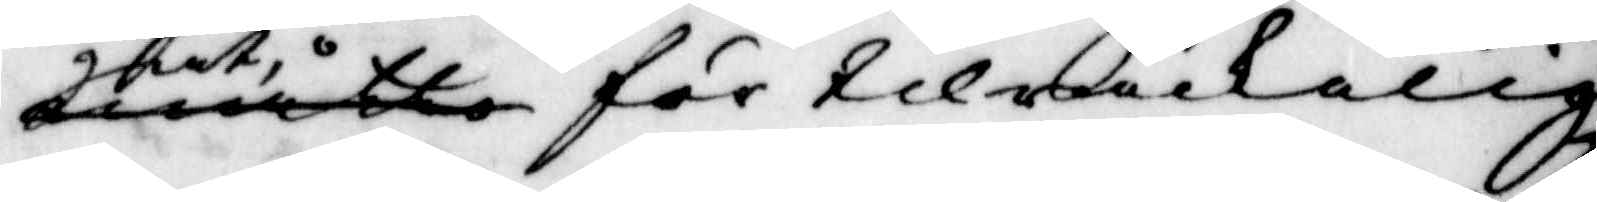måtto för tilräckelig
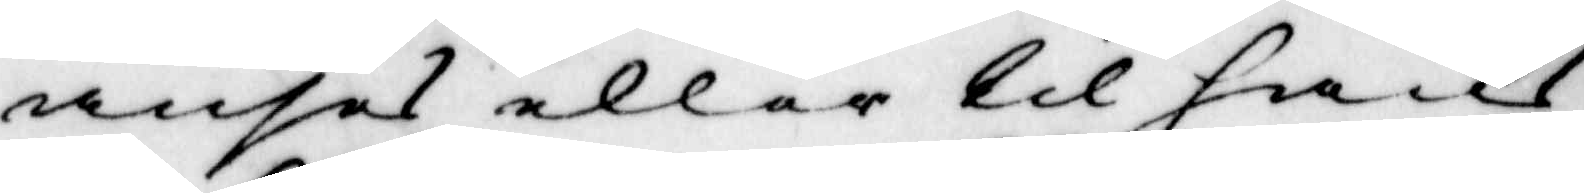anses eller til hans
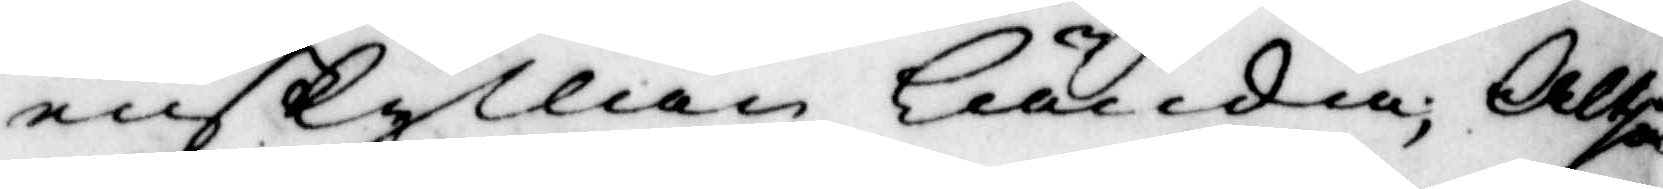enskyllan lända; Altså
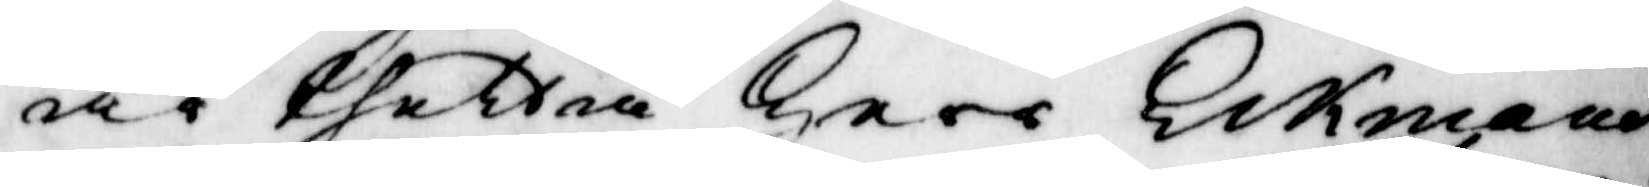är thetta herr Eckmans
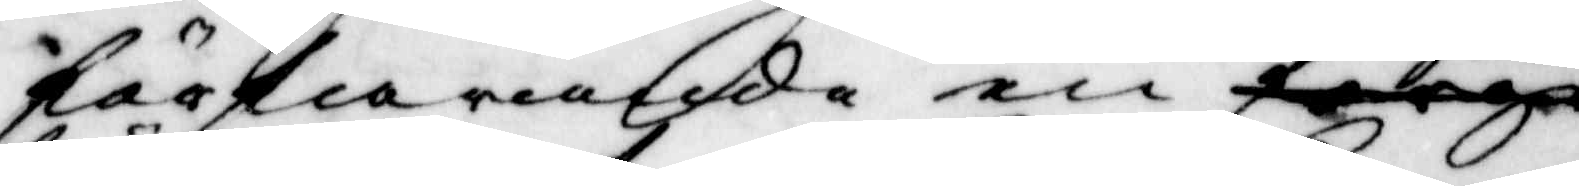förfarande en förge
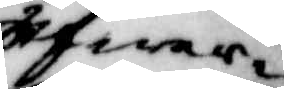öfwer
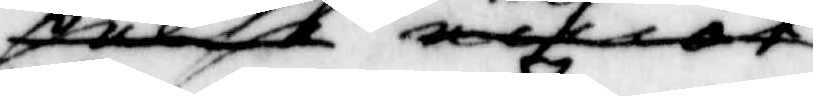pelse emot
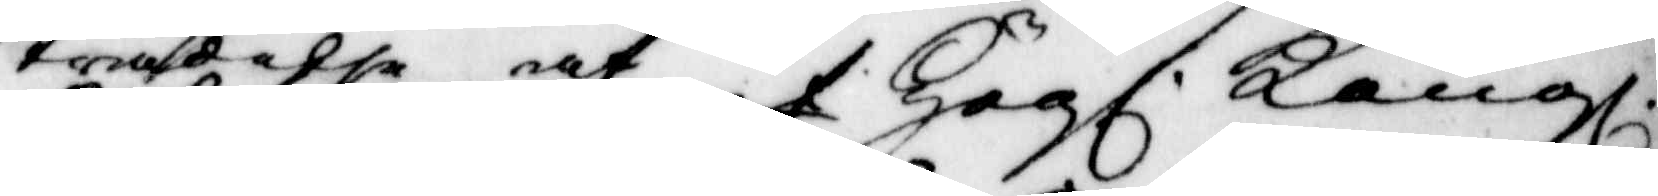trädelse af Högl. Kongl.
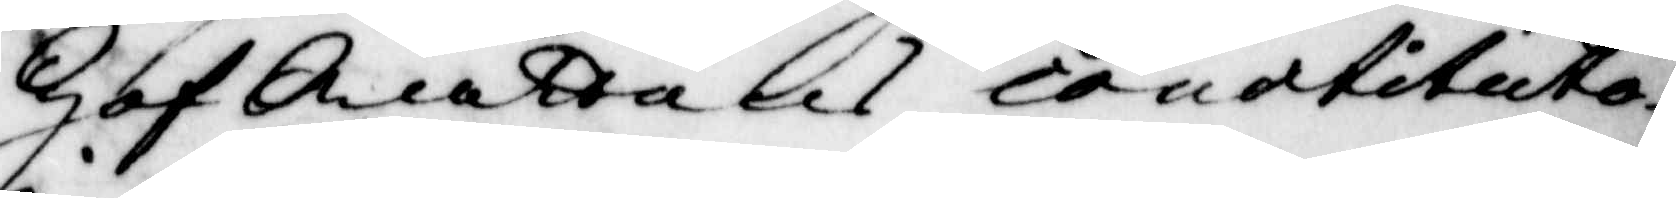Hof Rättens constituto¬
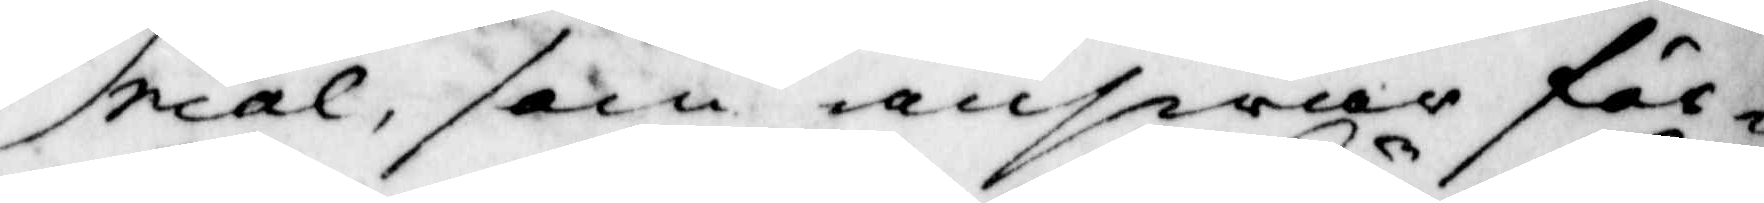rial, som ansvar för¬
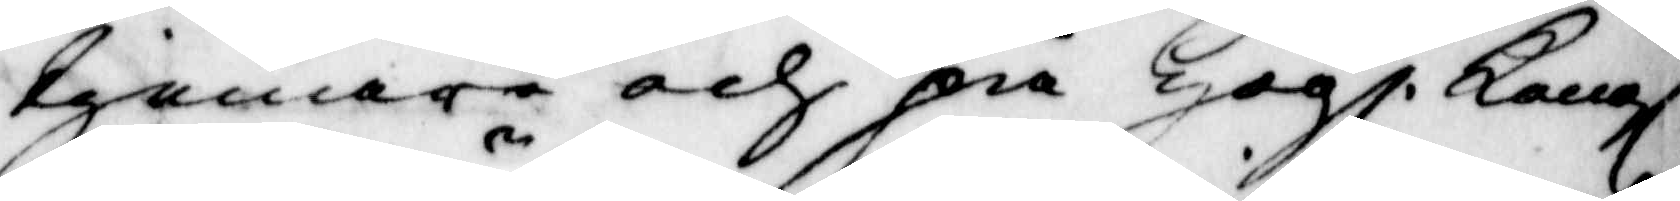tienare och på Högl. Kongl
